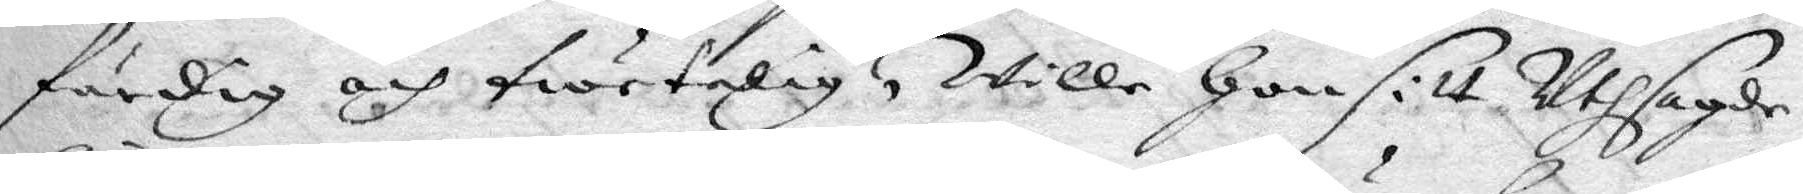färdig och twetalig, wille hon sitt Uthsagde
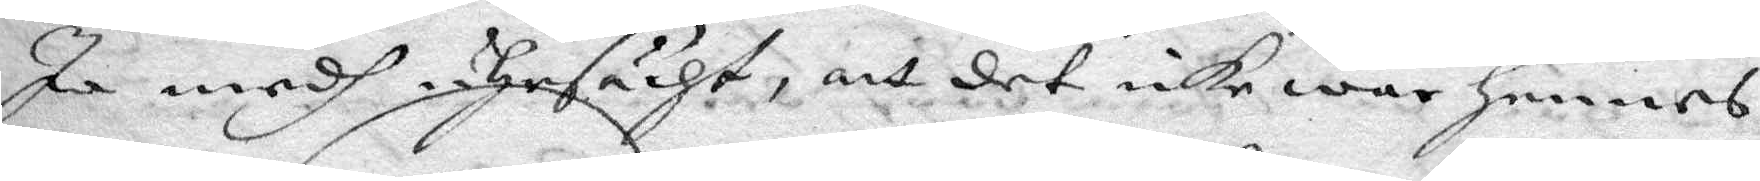Ja medh uhrsächt, att det icke war henne
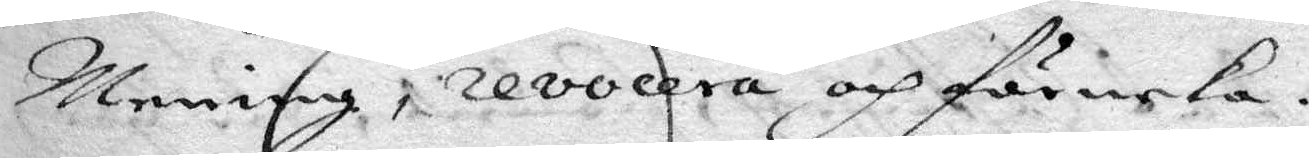Mening, revocera och förneka.
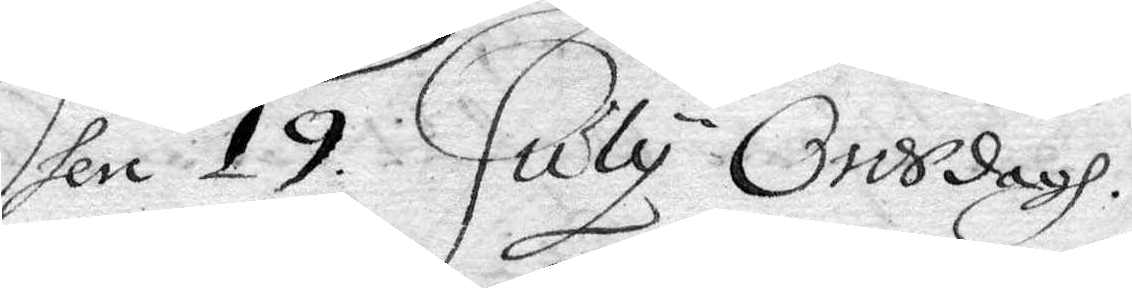Den 19 July Onsdagh.
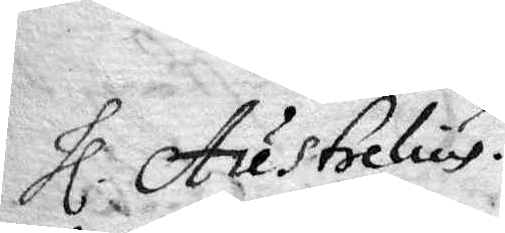Hl. Austrelius.
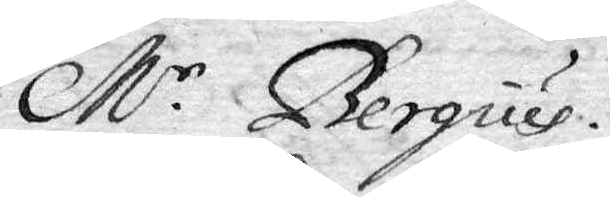Mr Bergius
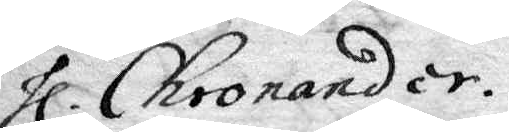Hl Chronander.
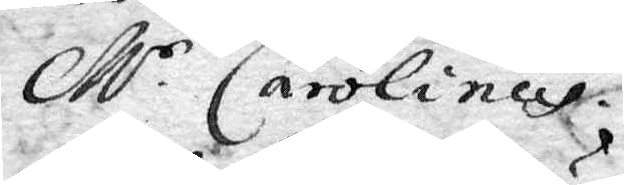Mr Carolinus.
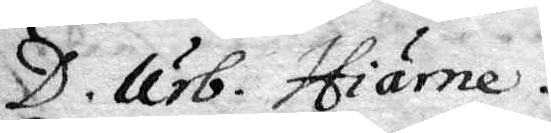D. Urb. Hiärne.
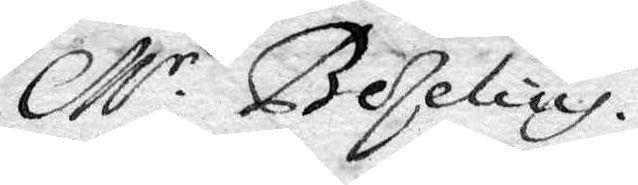Mr Beselius.
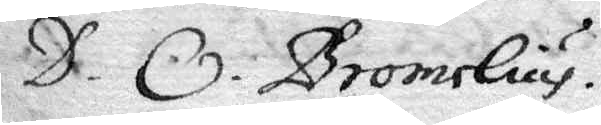D. O. Bromelius.
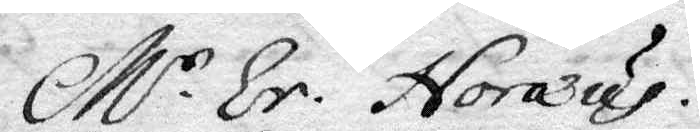Mr Er. Noraeus.
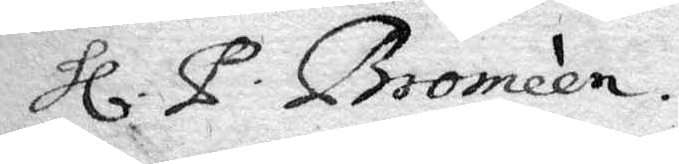Hl P. Bromeén
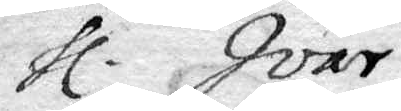Hl Ivar
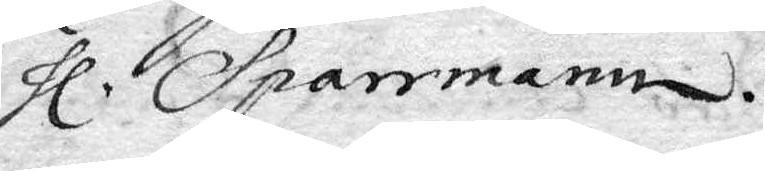Hl Sparrmann.
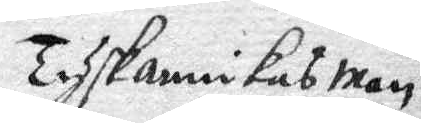Tyskannikas man
